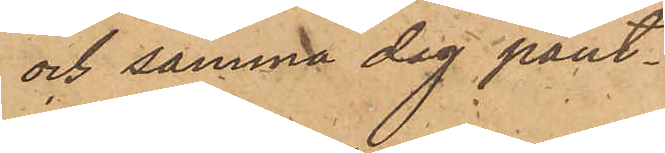och samma dag pant¬
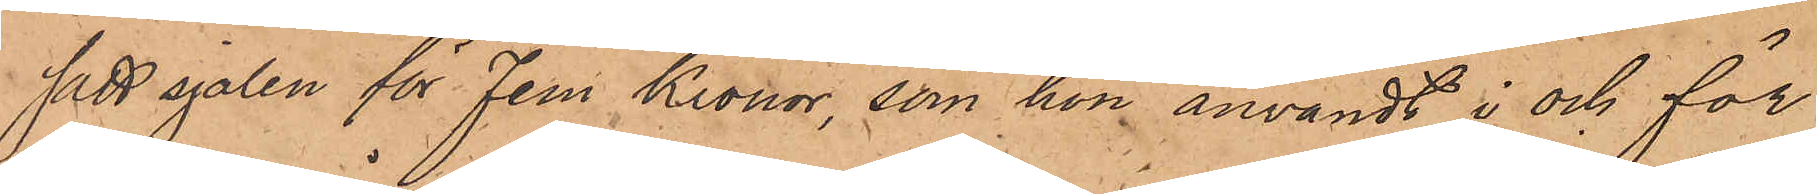satt sjalen för Fem Kronor, som hon användt i och för
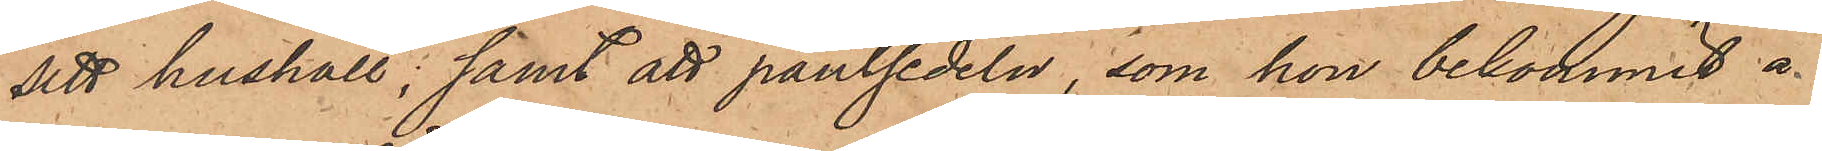sitt hushåll; samt att pantsedeln, som hon bekommit å
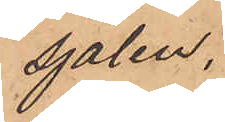sjalen.
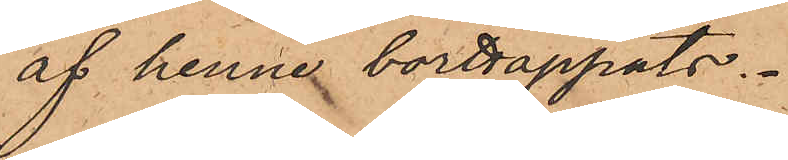af henne borttappats.
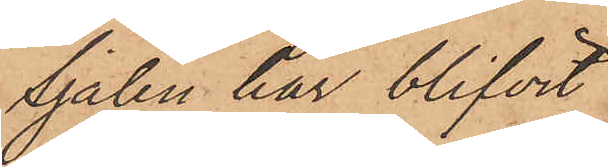Sjalen har blifvit
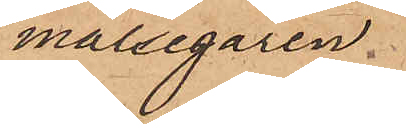målsegaren
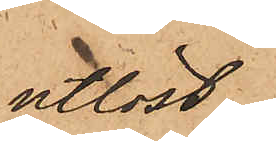utlöst.
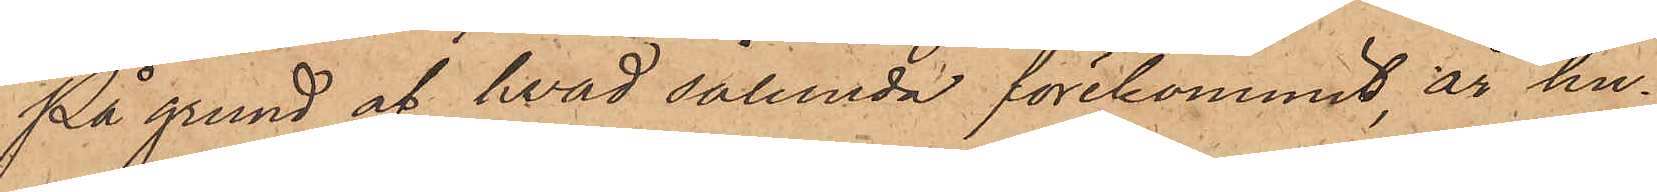På grund af hvad sålunda förekommit, är hu¬
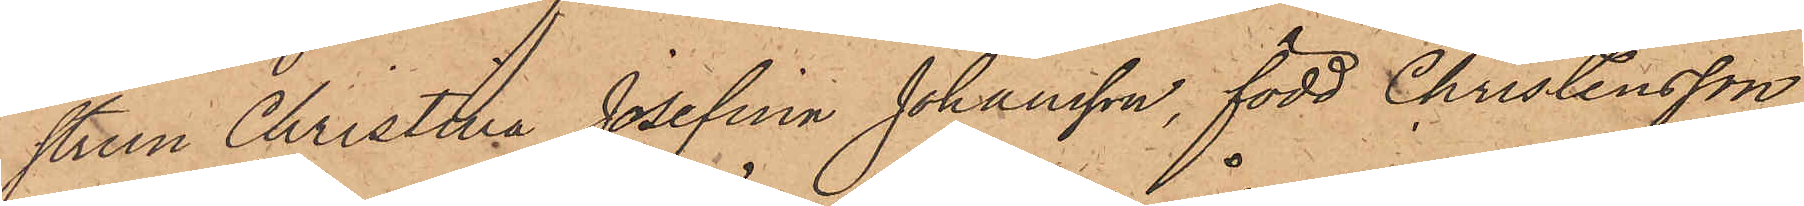strun Christina Josefina Johansson, född Christensson,
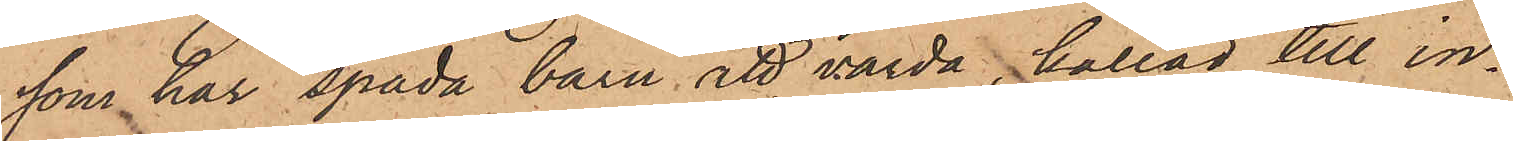som har späda barn att vårda, kallad till in¬
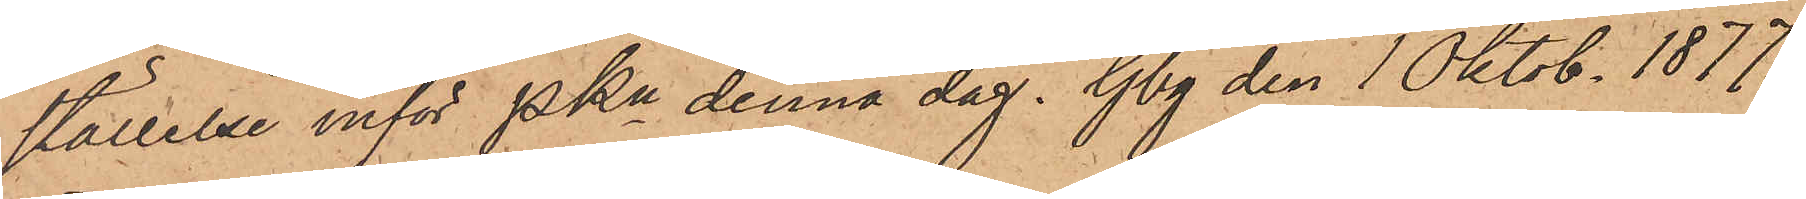ställelse inför Pkn denna dag. Gbg den 1 Oktob. 1877.
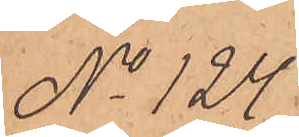No 124.
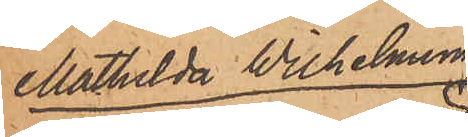Mathilda Wilhelmina
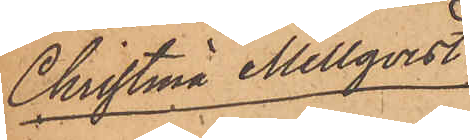Christina Mellqvist
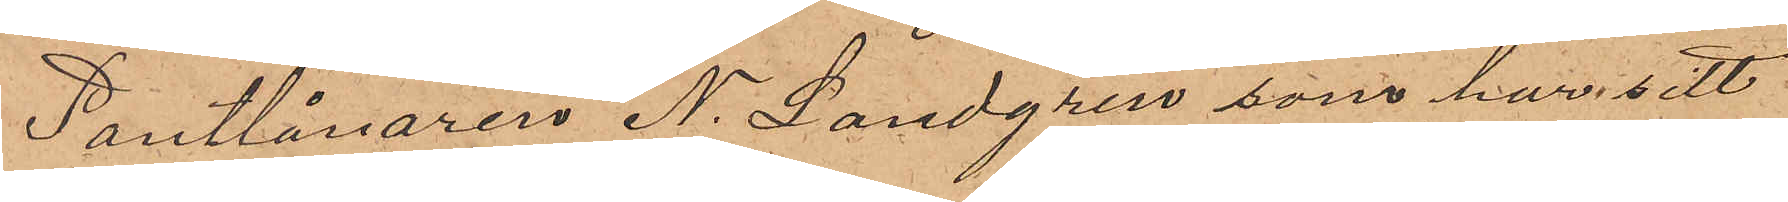Pantlånaren N. Landgren som har sitt
